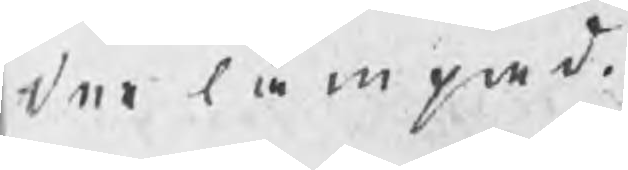der lämpad.
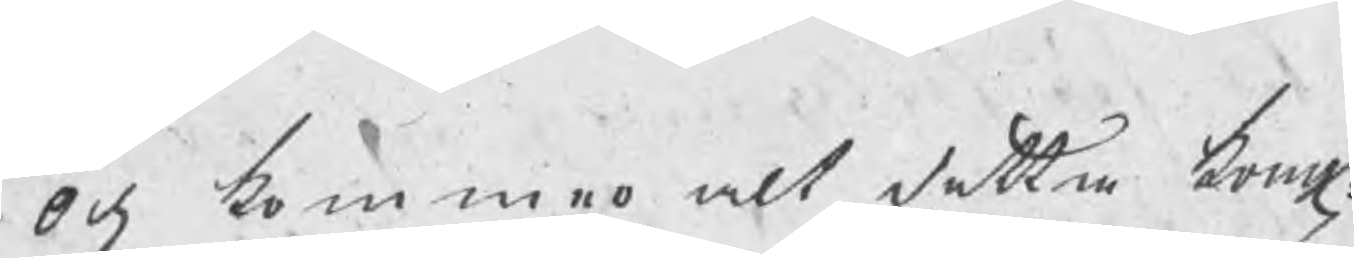Och kommer alt detta kong:
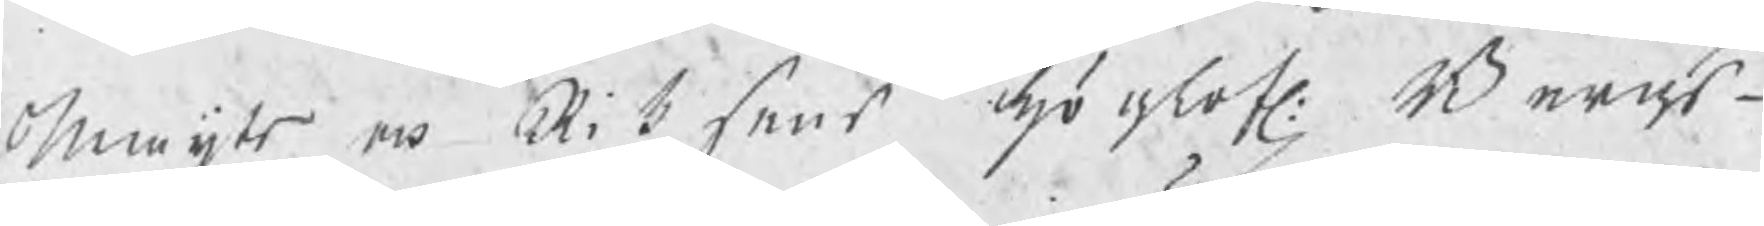Maijts och Riksens höglofl: Bergs¬
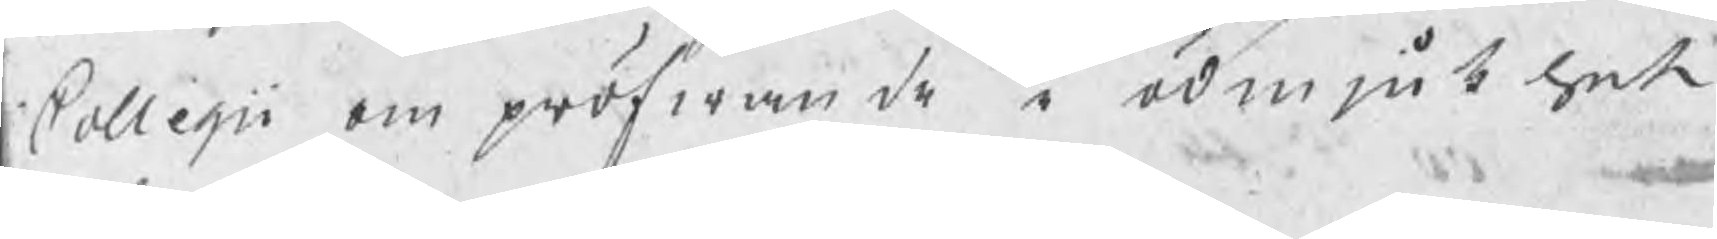Collegii ompröfwande i ödmjukhet
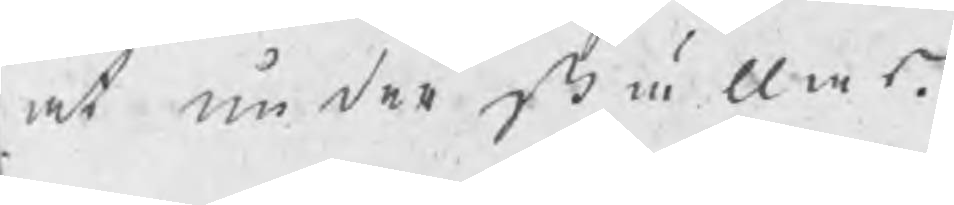at underställas.
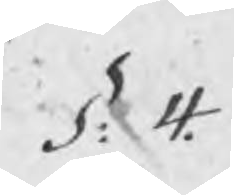§: 4.
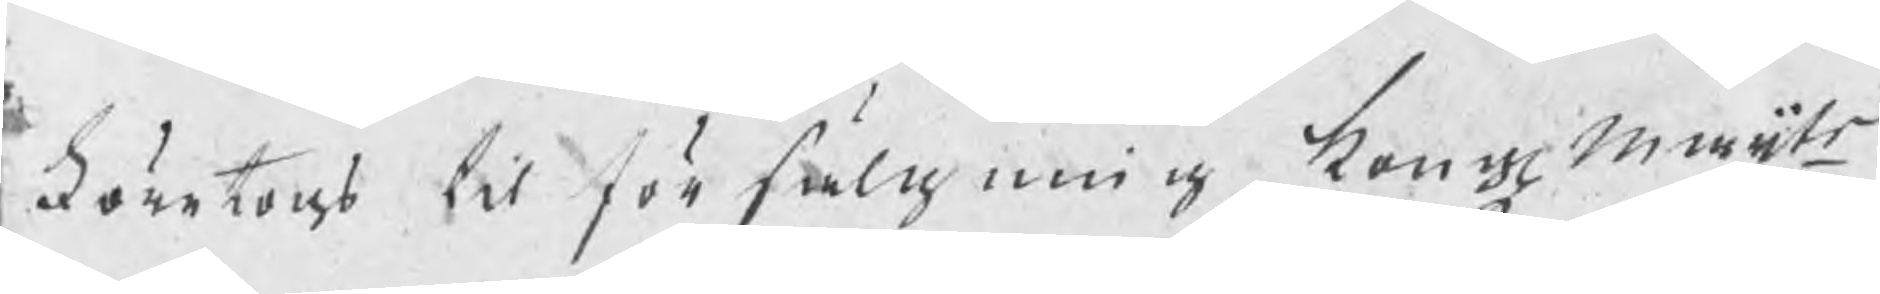Företogs til försälgning kongl maijts
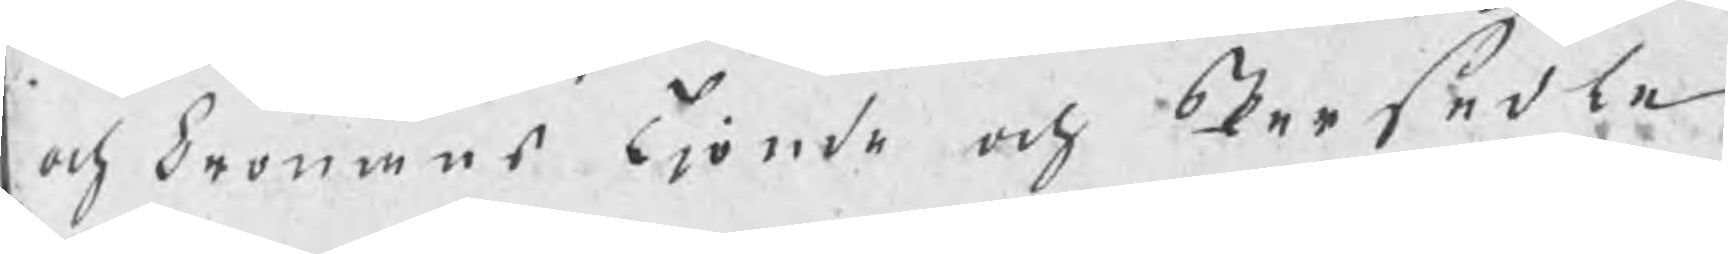och Cronans Tjonde och Persedle
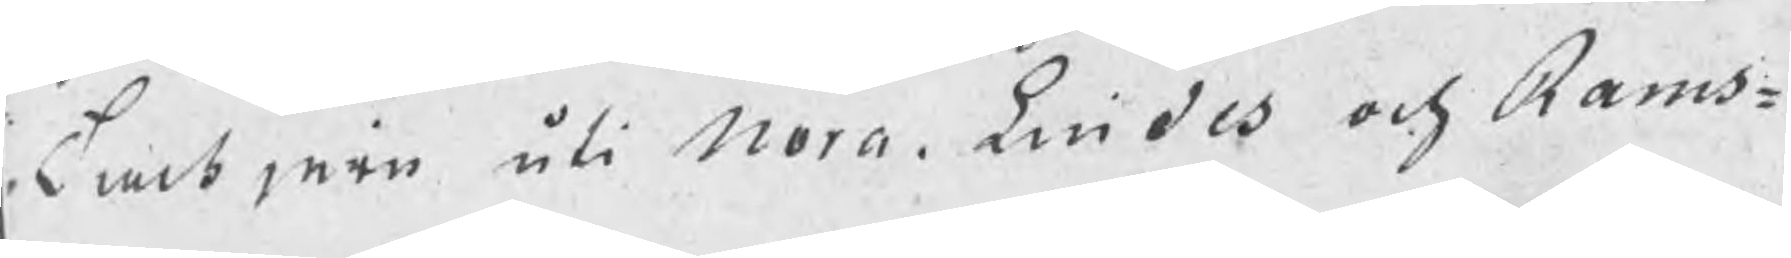tackjern uti Nora, Lindes och Rams¬
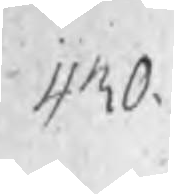430.
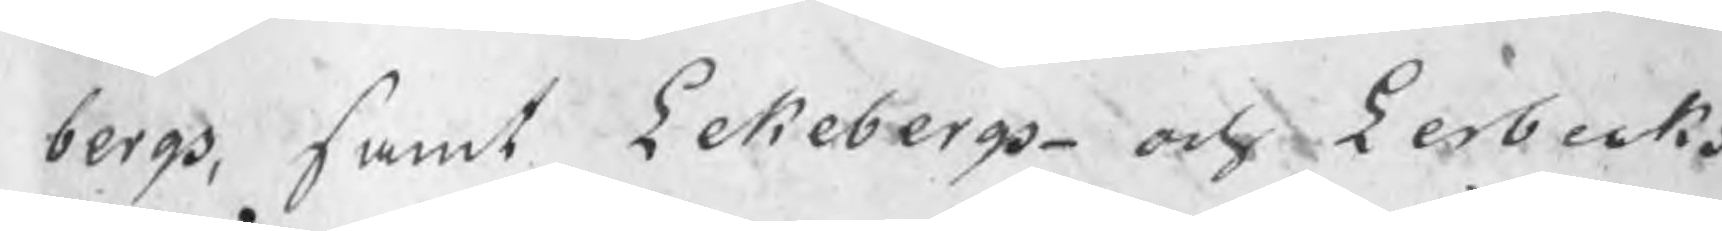bergs, samt Lekebergs och Lerbecks
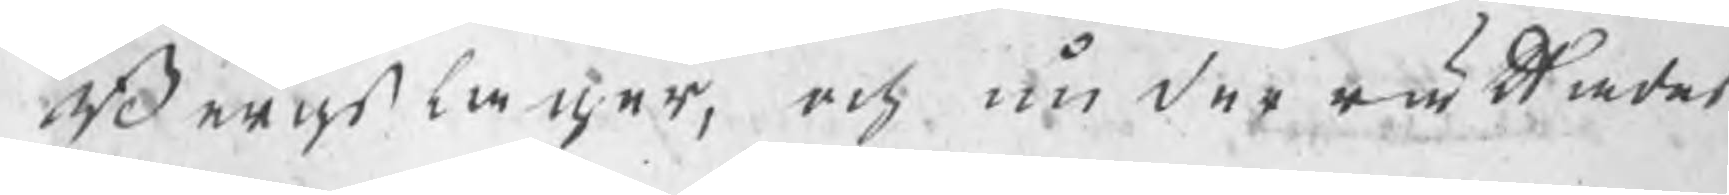Bergslager, och underrättades
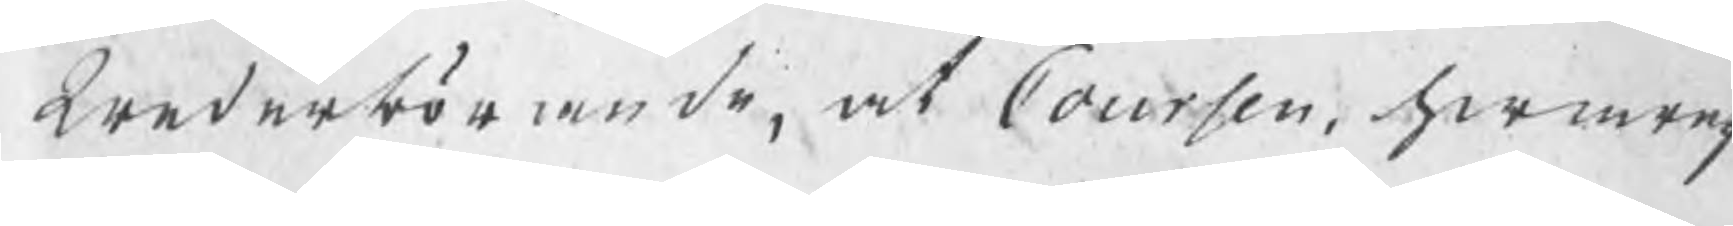wederbörande, at Coursen hwaref¬
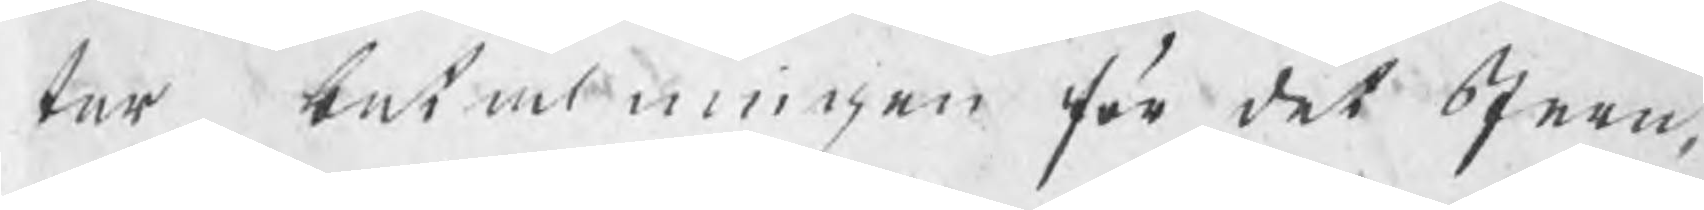ter betalningen för det Jern,
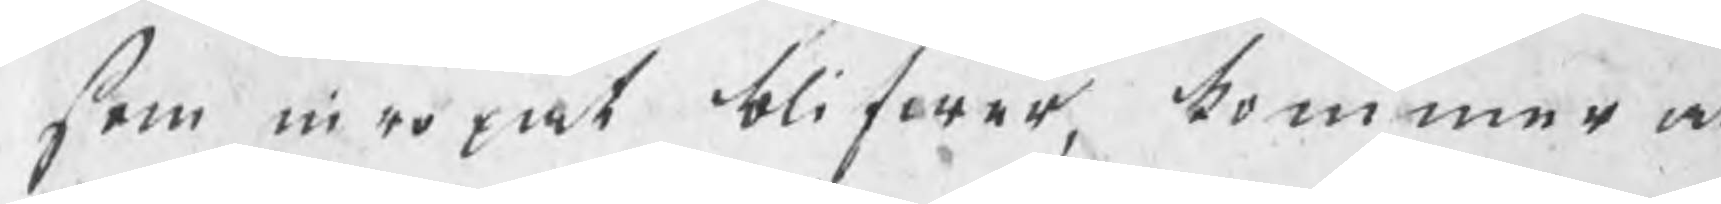som inropat blifwer, kommer at
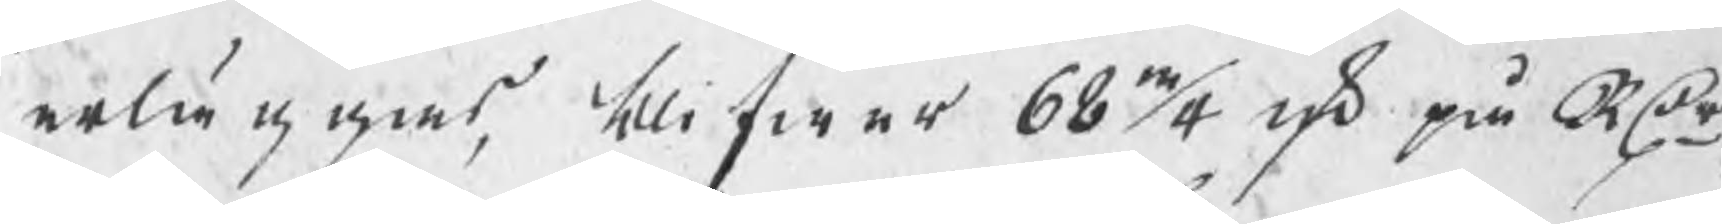erläggas, blifwer 68 3/4 rd på RDr,
